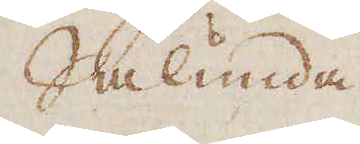Sålunda
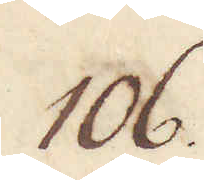106.
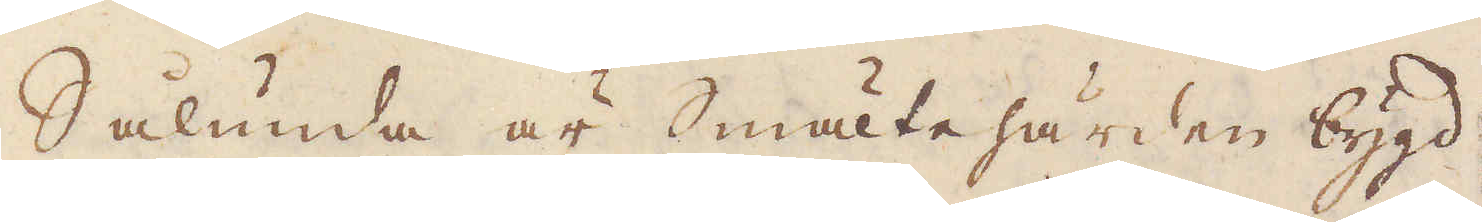Sålunda är Smältehärden bygd
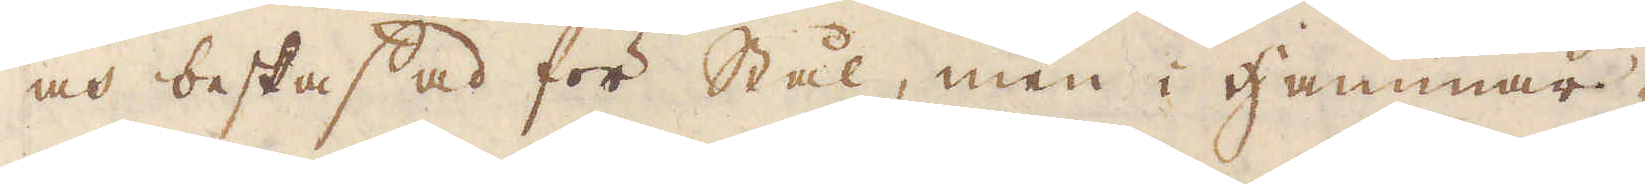och beskaffad för Stål, men i Hammar-
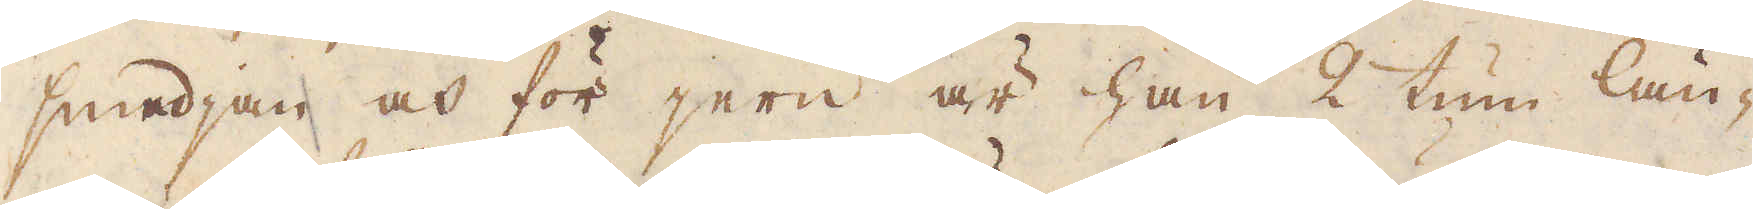smedjan och för jern är han 2 tum län-
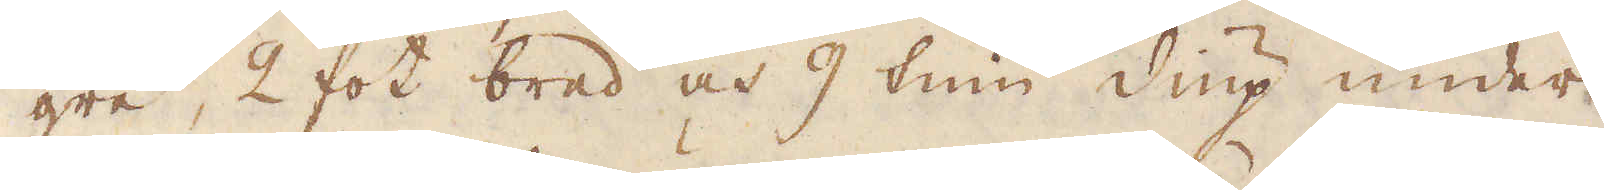gre, 2 fot bred och 9 tum diup under
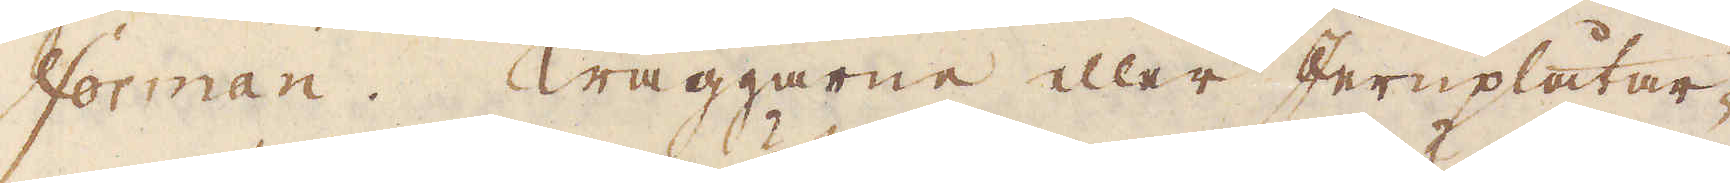Forman. Wäggarne eller Jernplåtar-
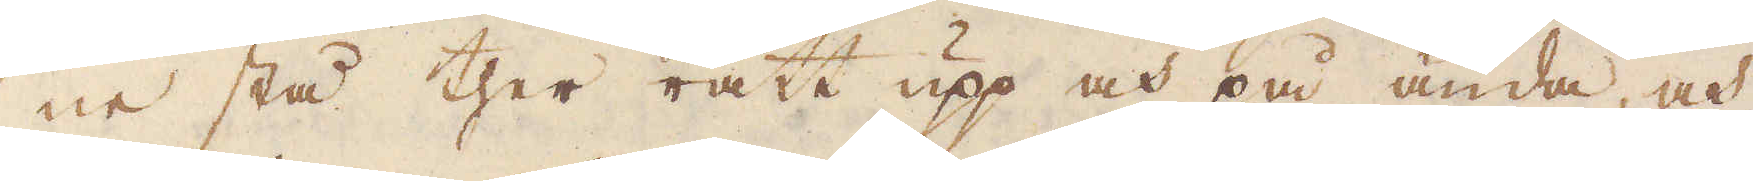ne stå ther rätt upp och på ända, och
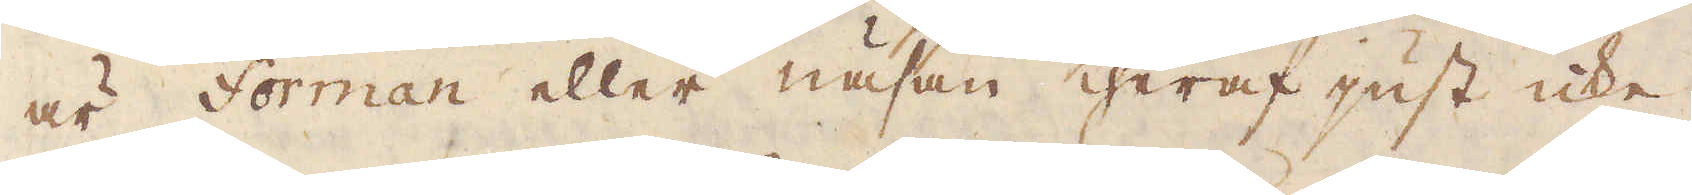är forman eller näsan theraf just icke
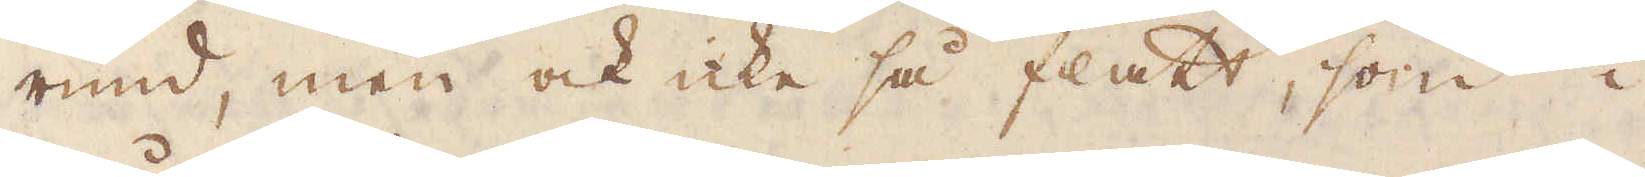rund, men ock icke så flakt, som i
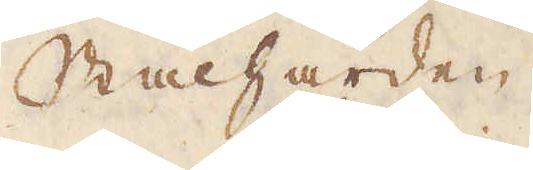Stålhärden.
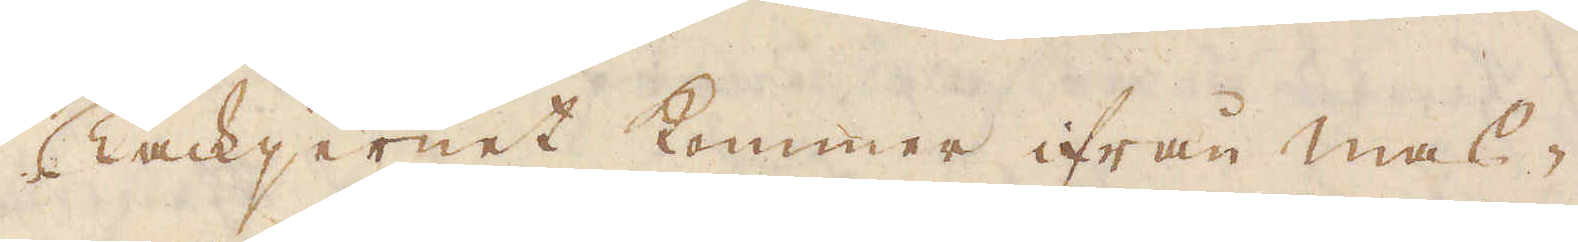Tackjernet kommer ifrån mas-
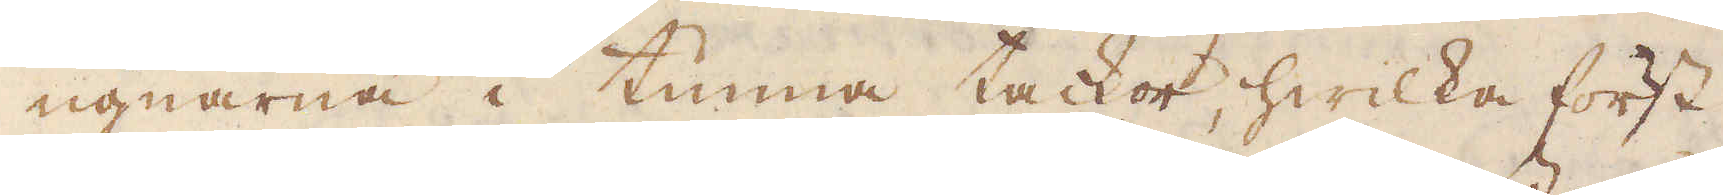ugnarna i tunna tackor, hwilka först
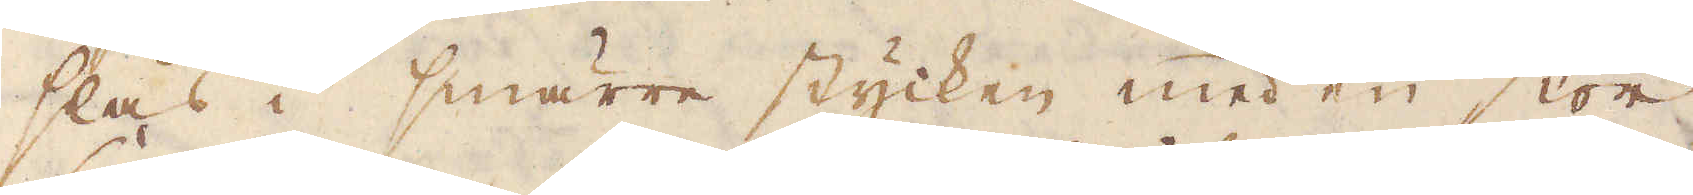slås i smärre stycken med en stor
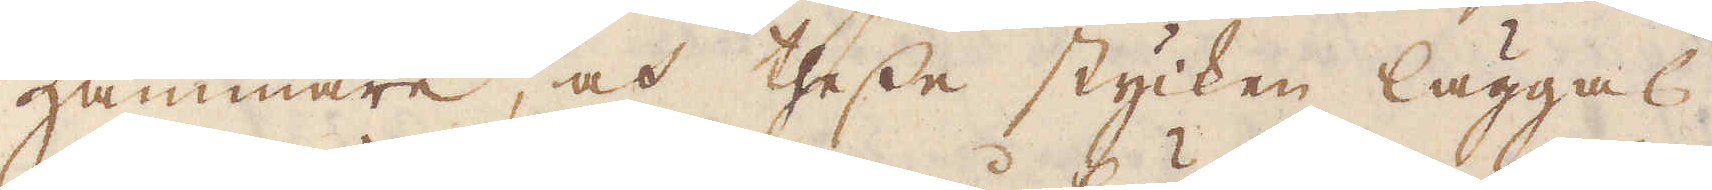Hammare, och thesse stycken läggas
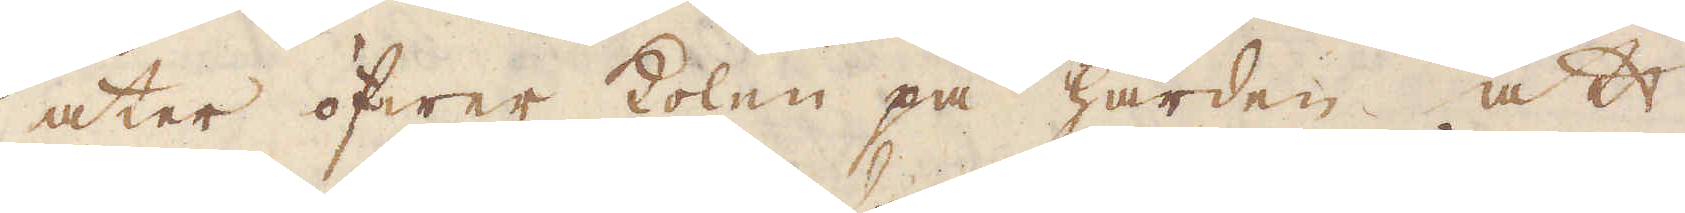åter öfwer kolen på härden att
